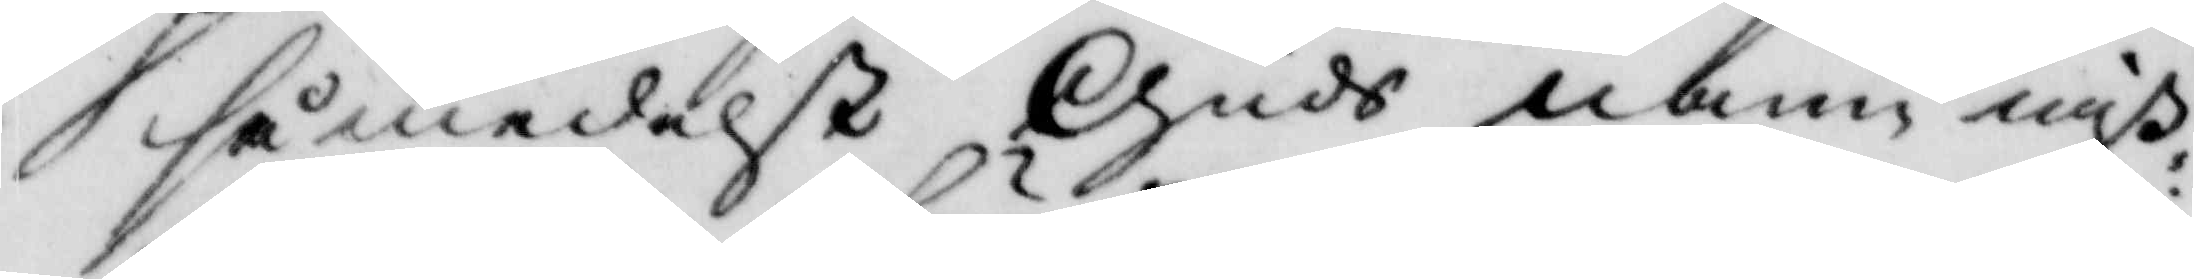så medelst Guds namn miß¬
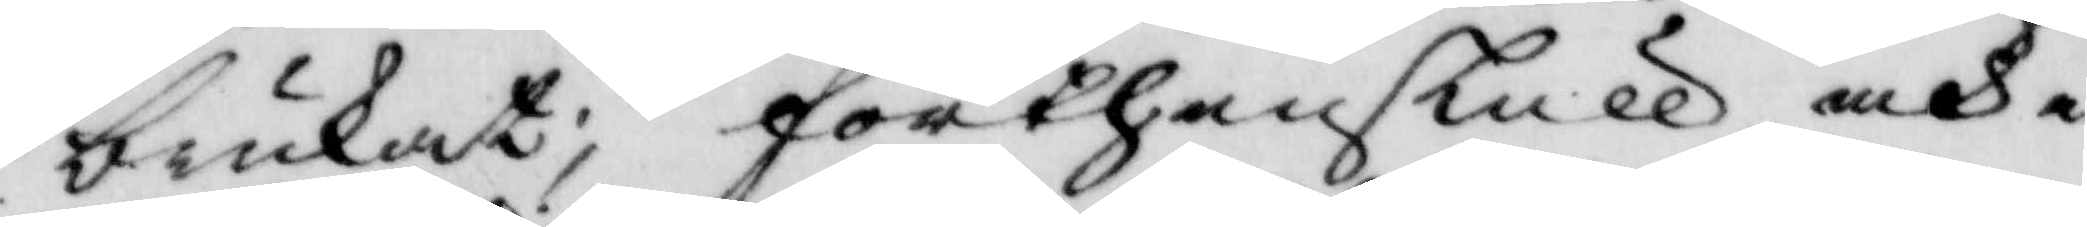brukat, förthenskull och i
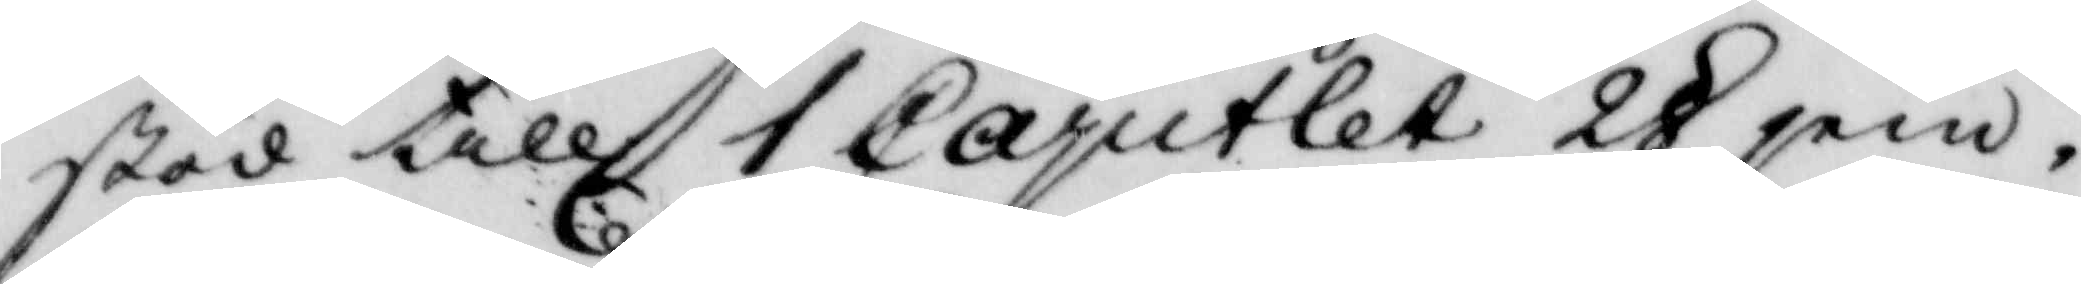stöd till 1 Capitlet 28 jem¬
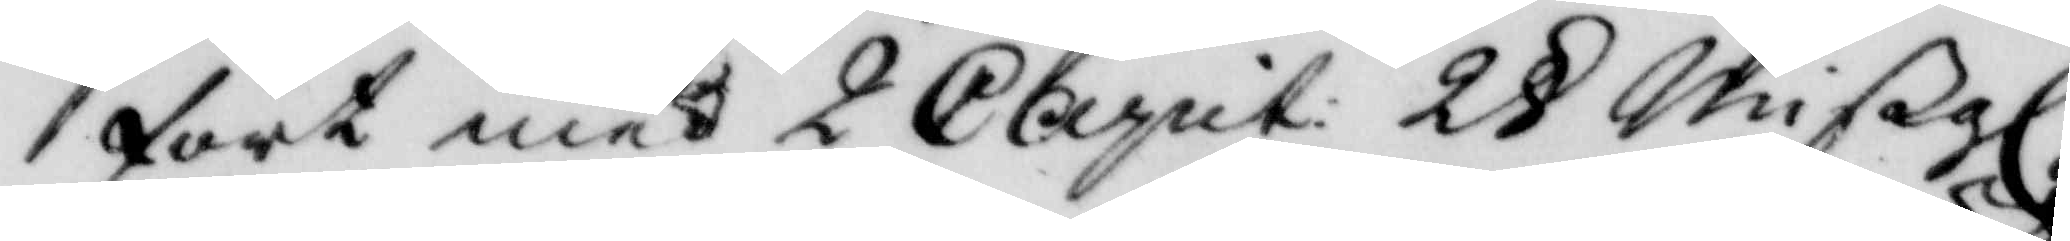fört med 2 Capit: 2 § Mißgl. 
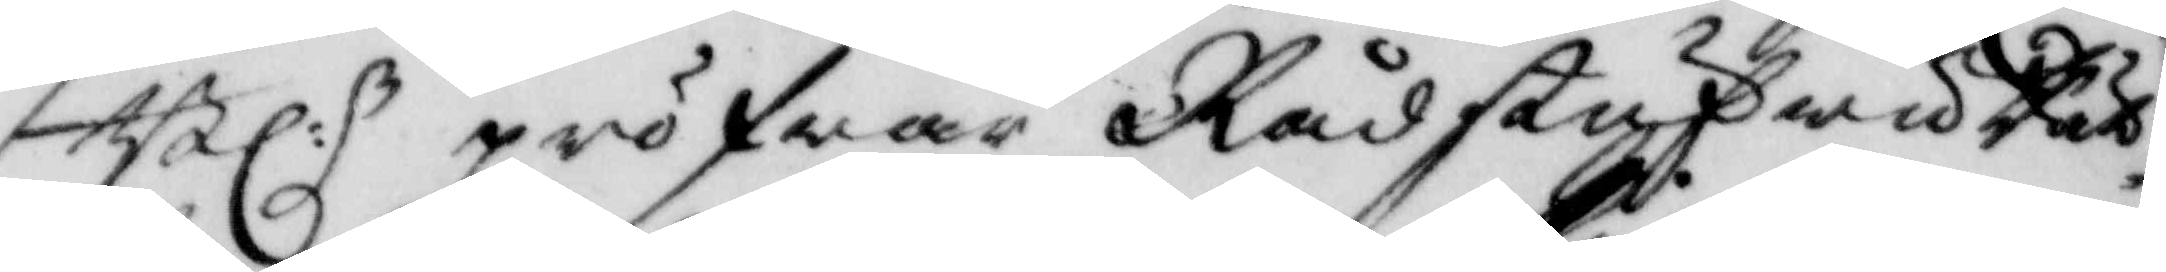Bl.n pröfwar RådstufwuRät¬ 
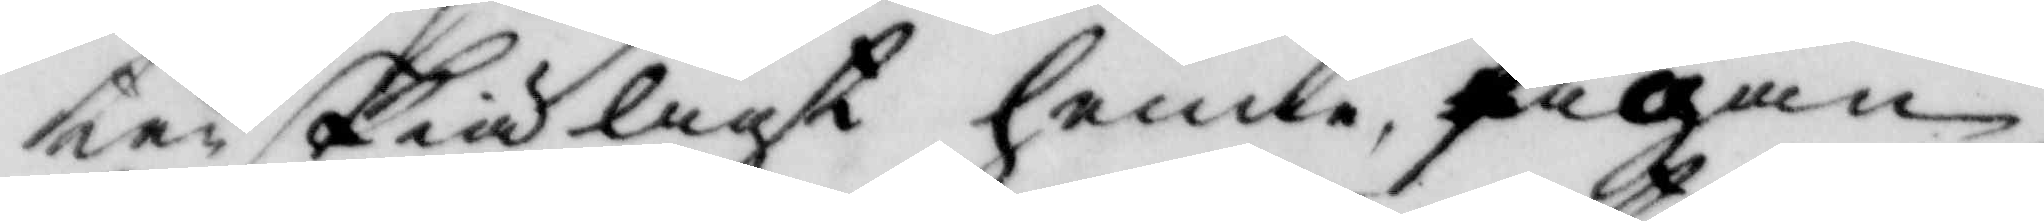ten skiäligt henne Pigan
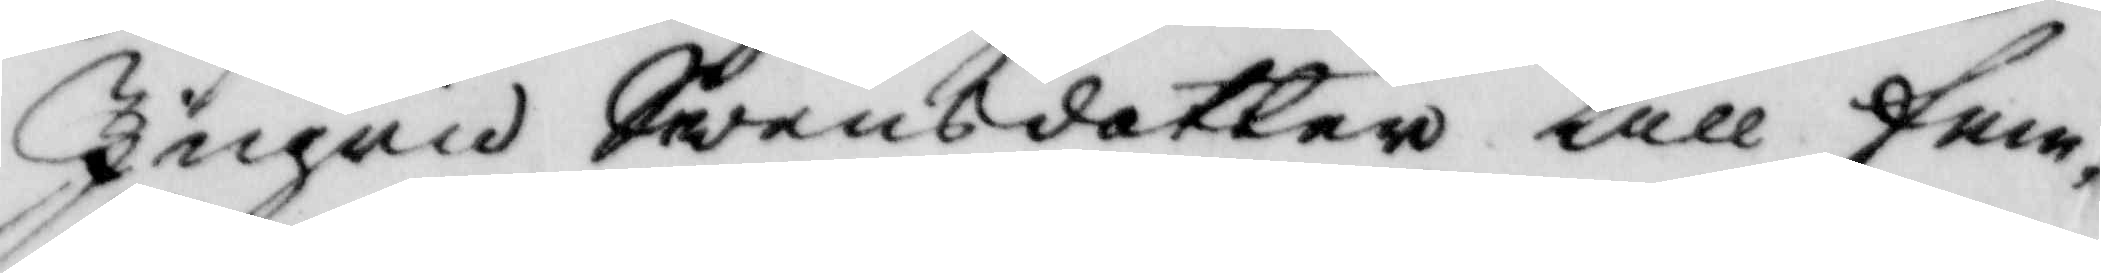Ingrid Swensdotter till fem¬
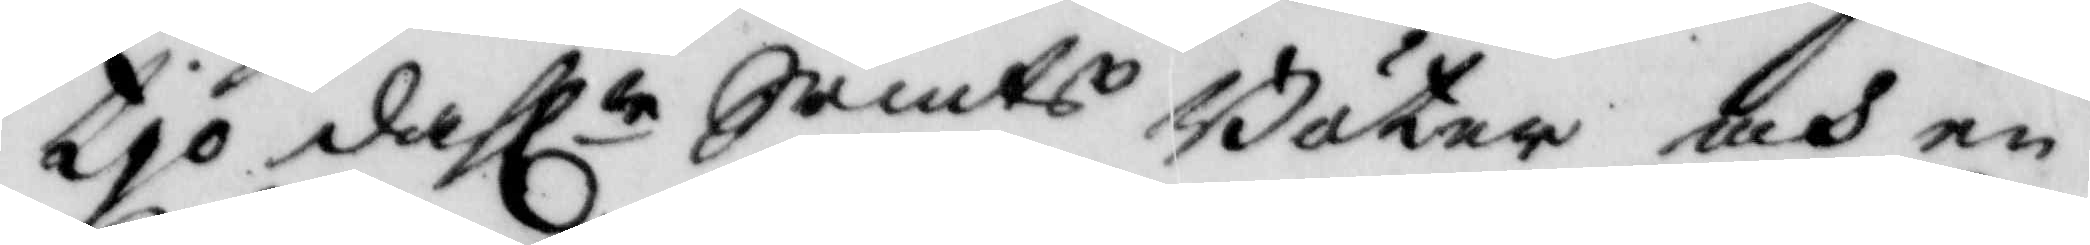tio dahlr Srmts Böter och en 
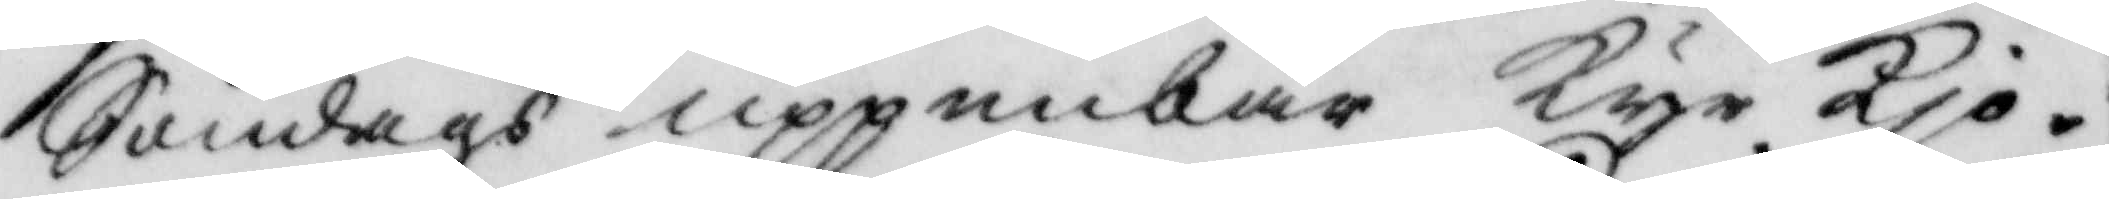Söndags uppenbar Kyrkio¬
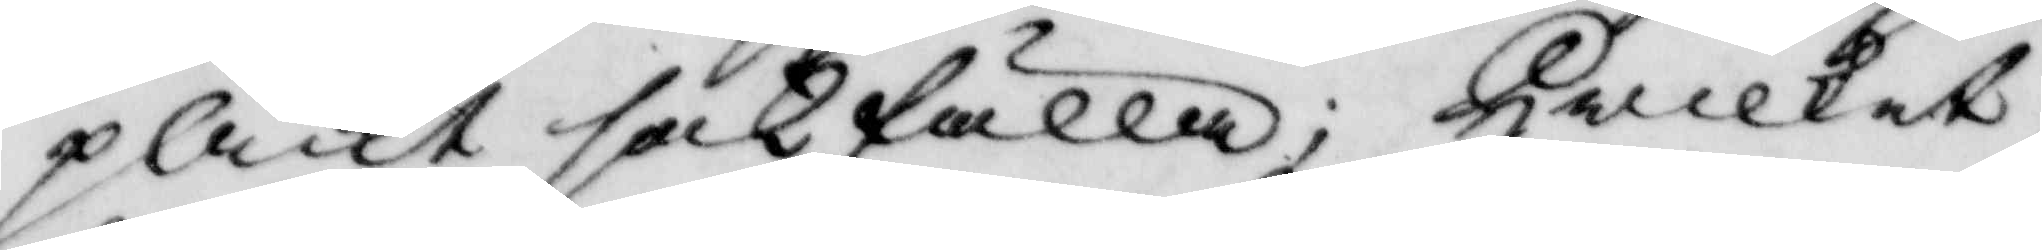plikt sakfälla, hwilket
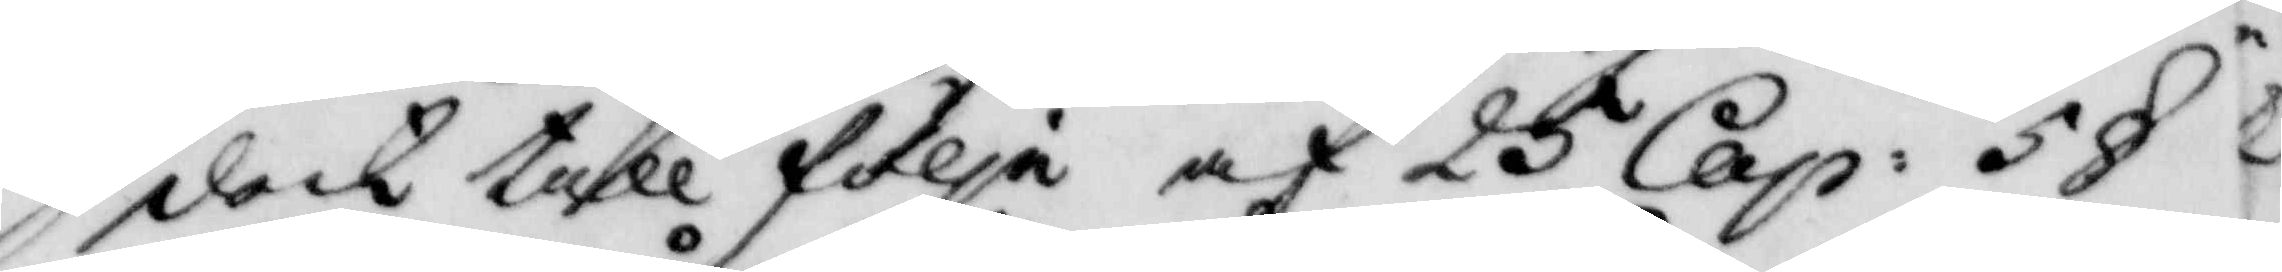dock till följa af 25 Cap: 5 §  
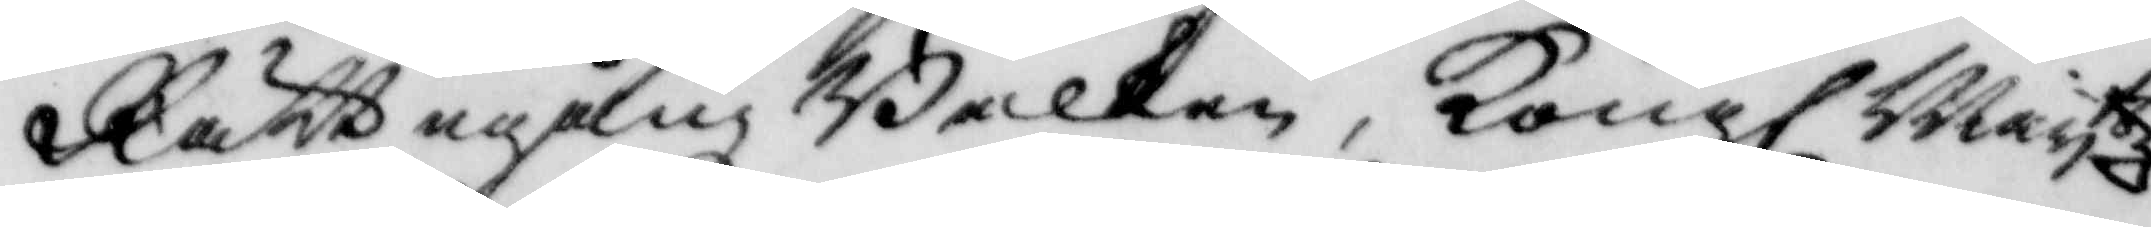Rättegång Balken, Kongl Mayttz 
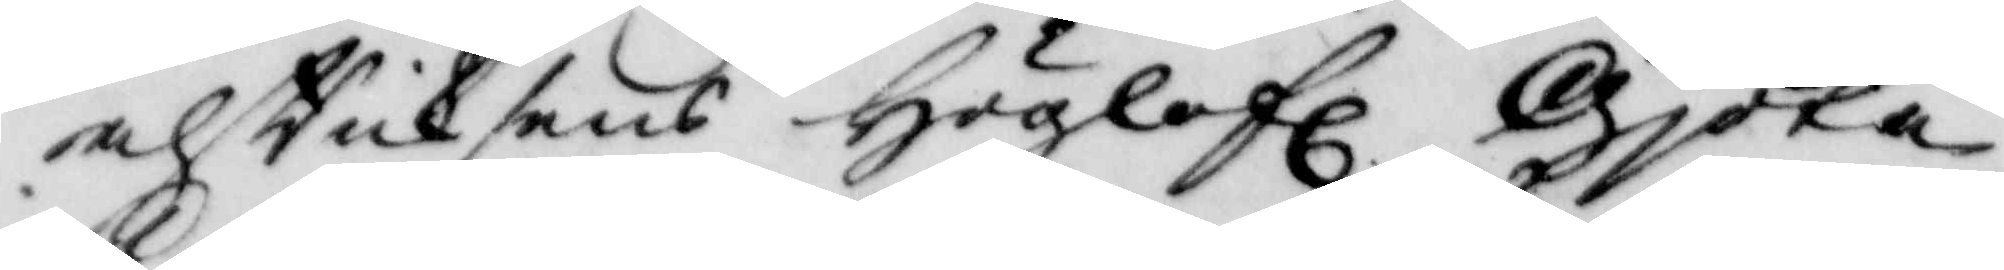af Riksens höglofl. gjöta 
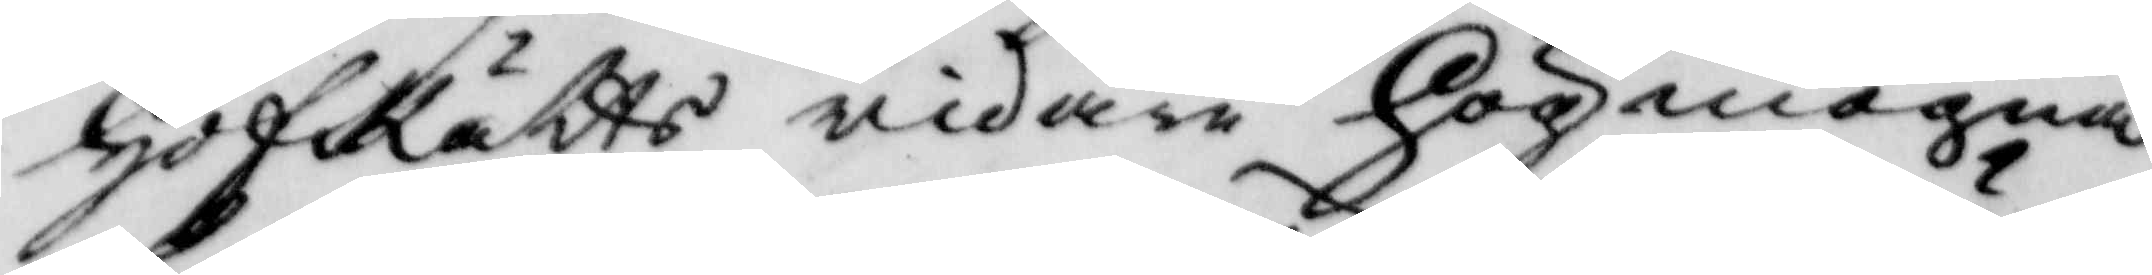HofRätts widare högmogna,
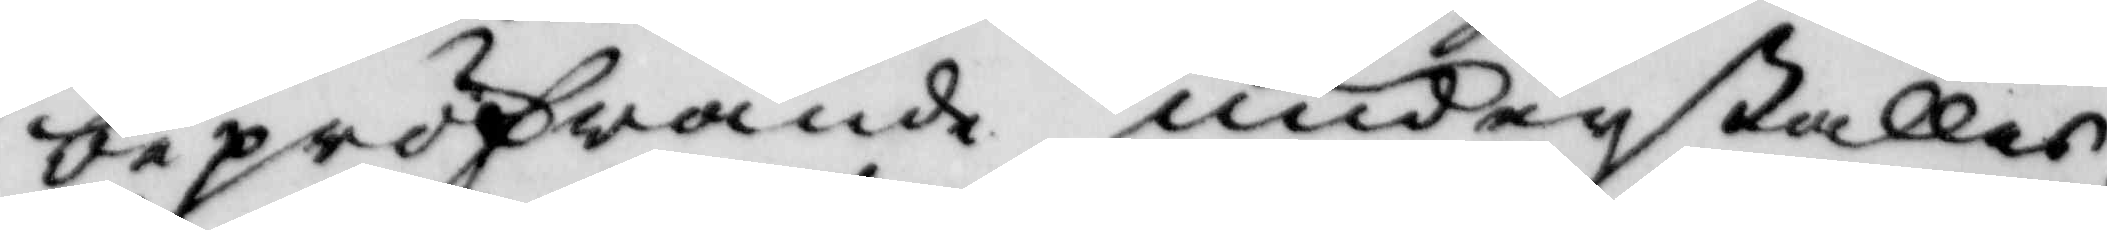bepröfwande underställes
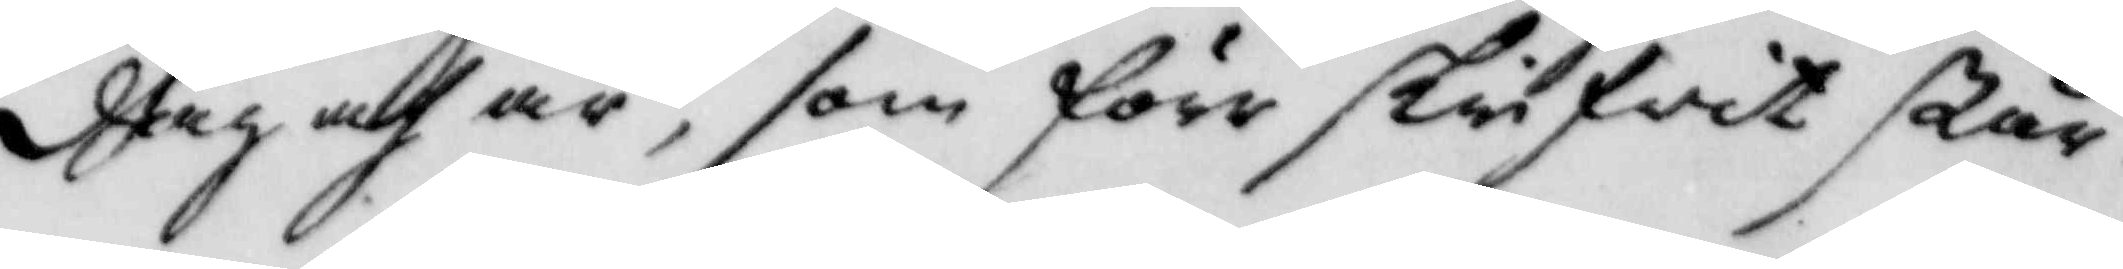dag och år, som förr skrifwit står
